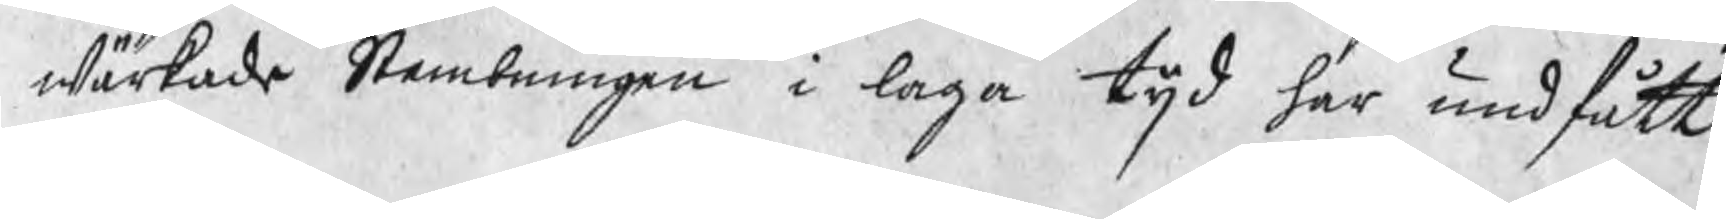wärkade Stembningen i laga tijd har undfått.
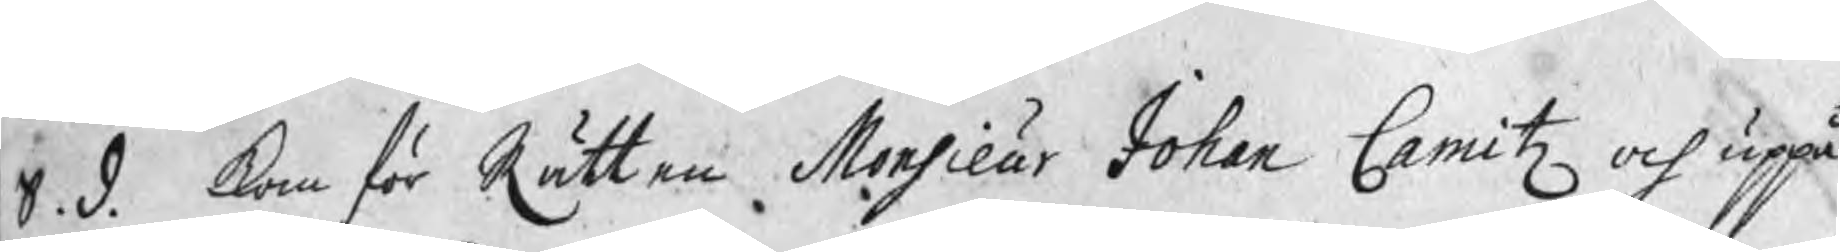S. d. kom för Rätten Monsieur Johan Camitz och uppå
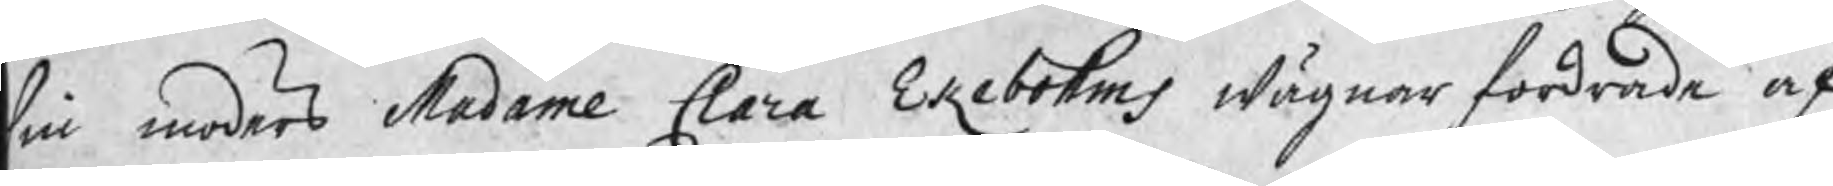sin moders Madame Clara Ekebohms wägnar fordrade af
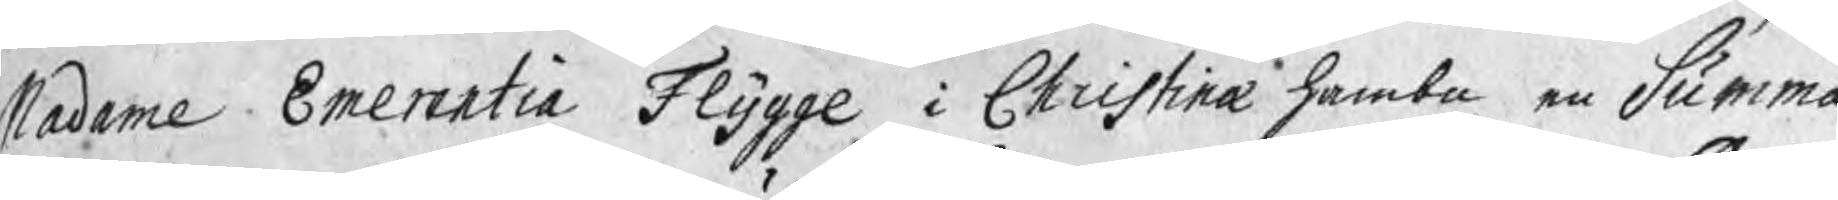Madame Emerentia Flygge i Christinæ hambn en Summa
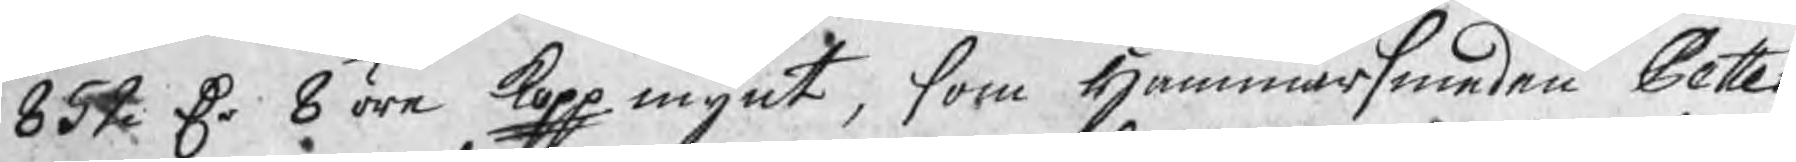852 Dr 8 öre kopp mynt, som Hammarsmeden Petter
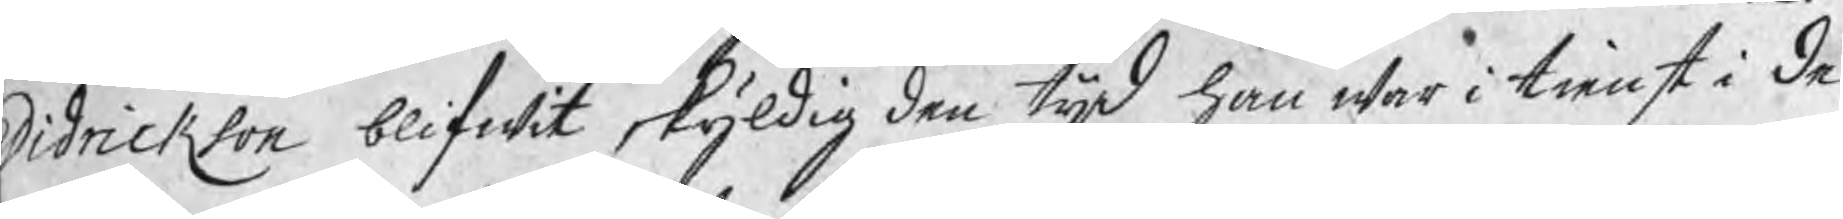Didrikson blifwit skyldig den tijd han war i tienst i De¬
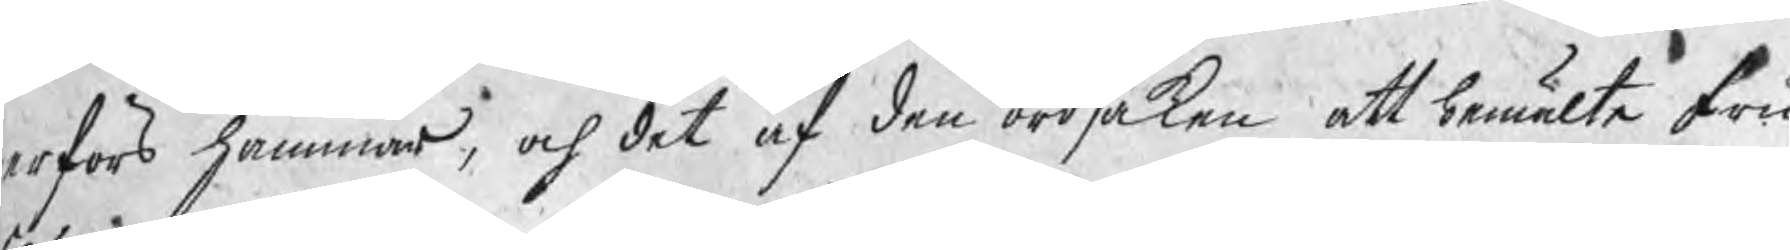erfors hammar, och det af den ordsaken att bemälte fru
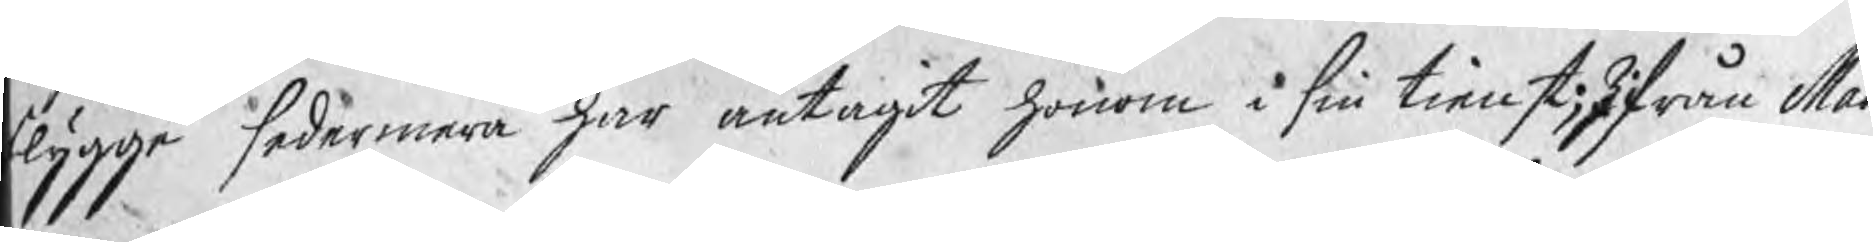lygge sedermera har antagit honom i sin tienst; Ifrån Mad.
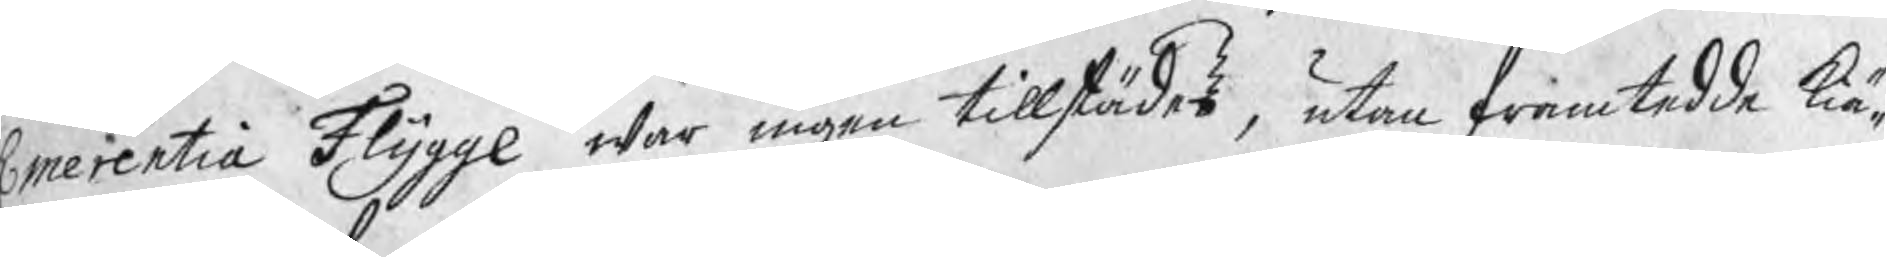Emerentia Flygge war ingen tillstädes, utan framtedde kiä¬
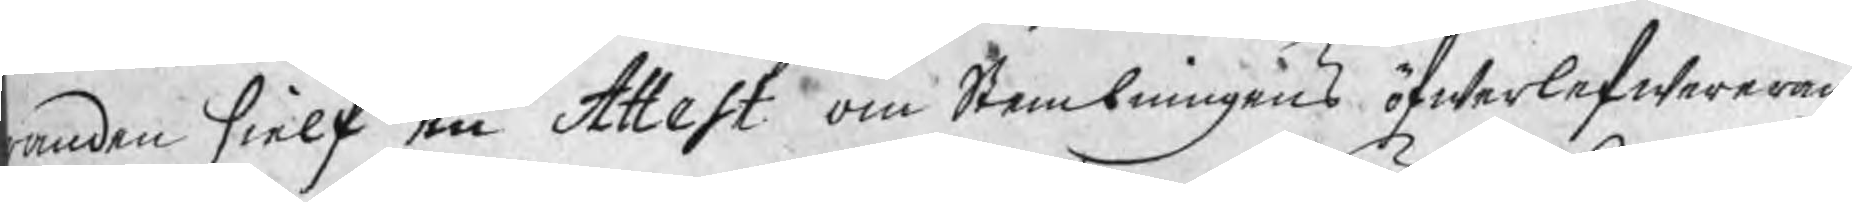anden sielf en Attest om Stembningens öfwerlefwereran¬
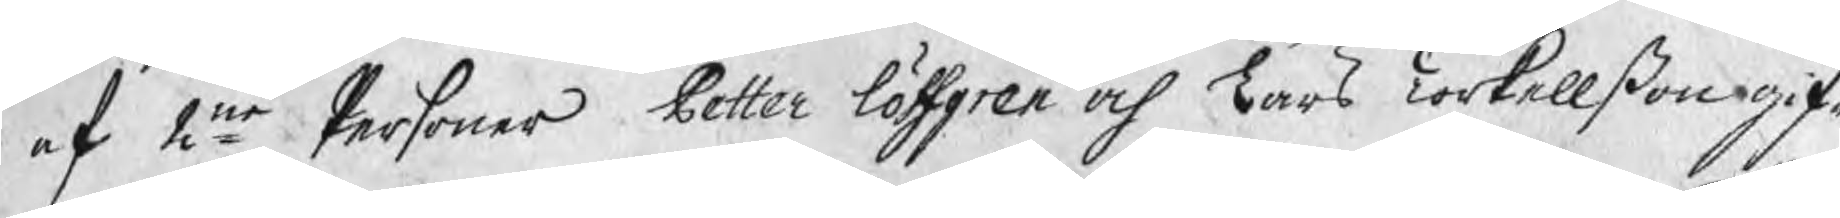e af 2ne Personer Petter Löfgren och Lars Torkellßon gif¬
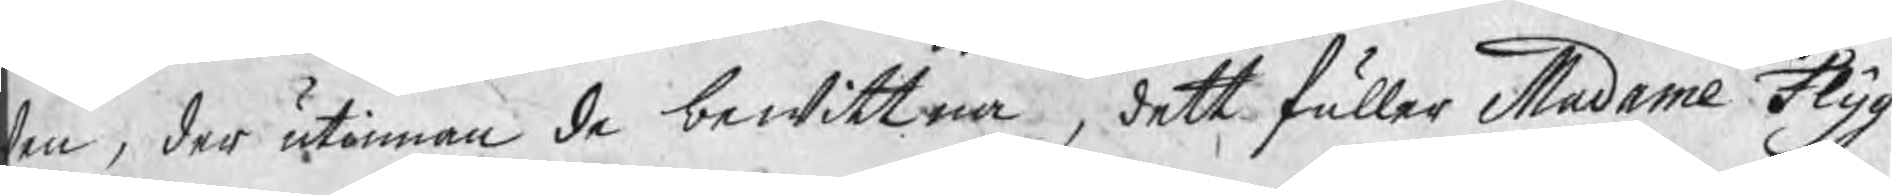en, der utinnan de bewittna, dett fuller Madame Flyg¬
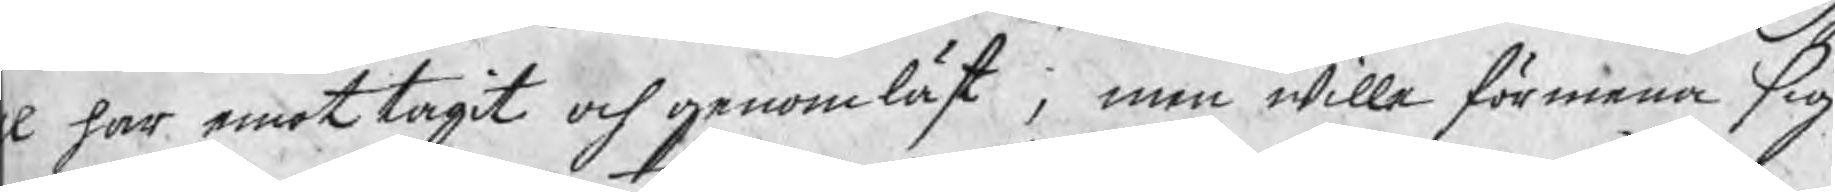e har emottagit och genomläst, men wille förmena sig
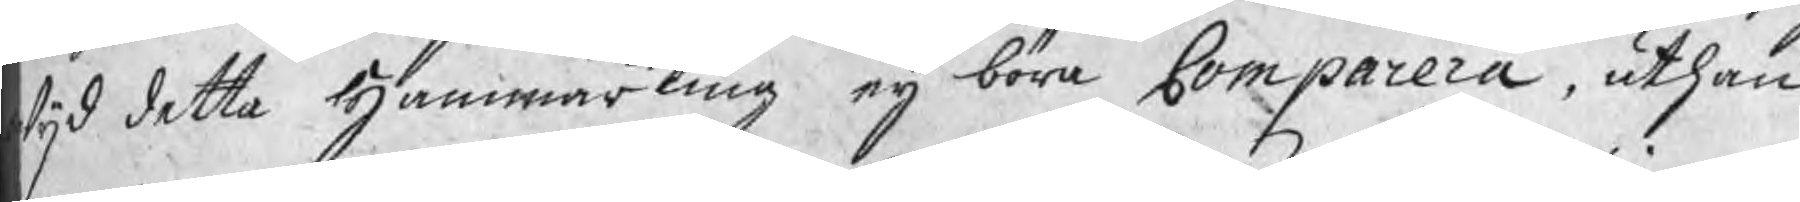wijd detta Hammarting eij böra Comparera, uthan
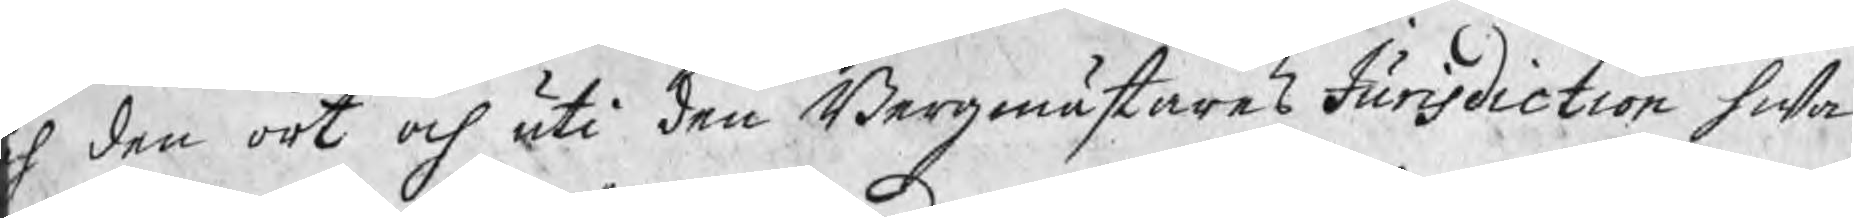h den ort och uti den Bergmästares Jurisdiction hwar¬
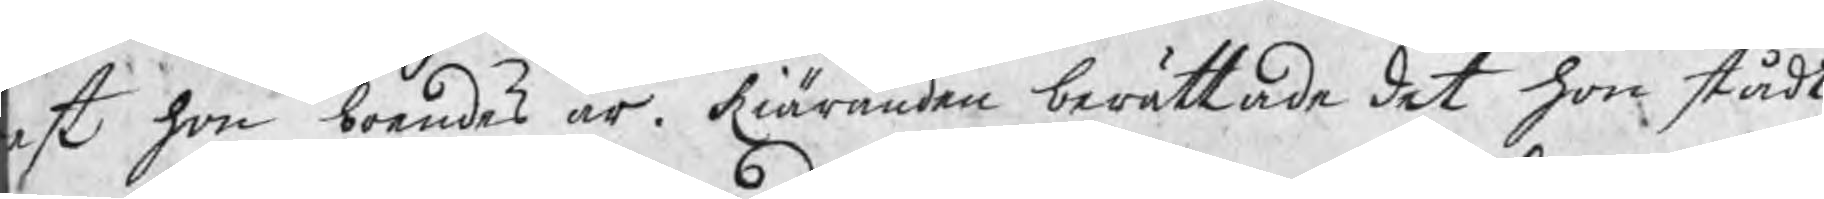est hon boendes är. Kiäranden berättade det hon stådt
